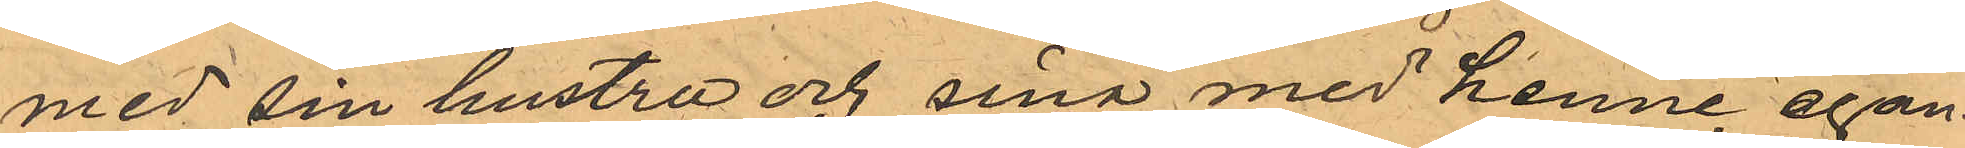med sin hustru och sina med henne egan¬
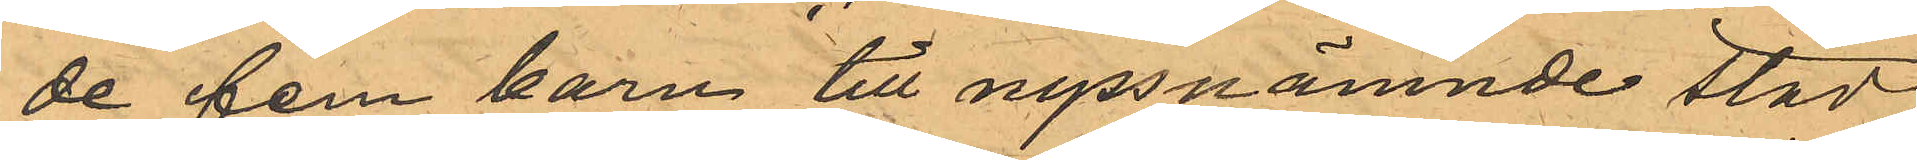de fem barn till nyssnämnde stad,
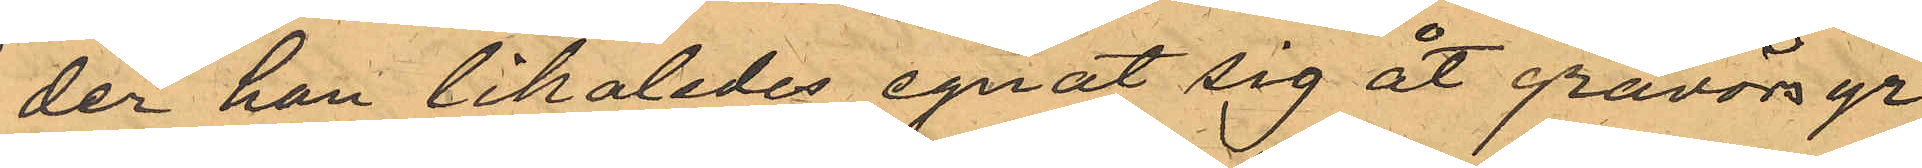der han likaledes egnat sig åt gravörsyr¬
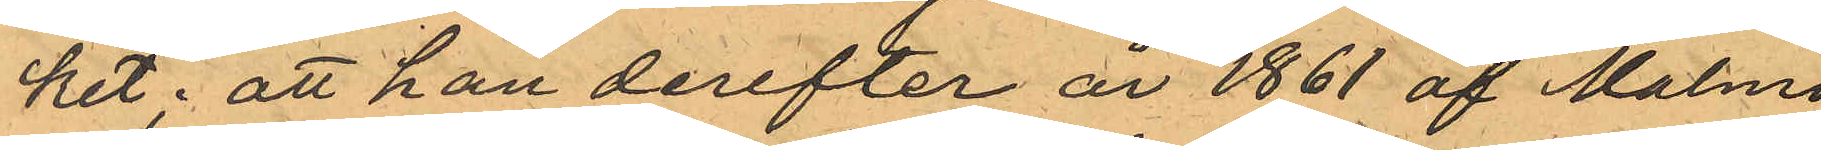ket; att han derefter år 1861 af Malmö
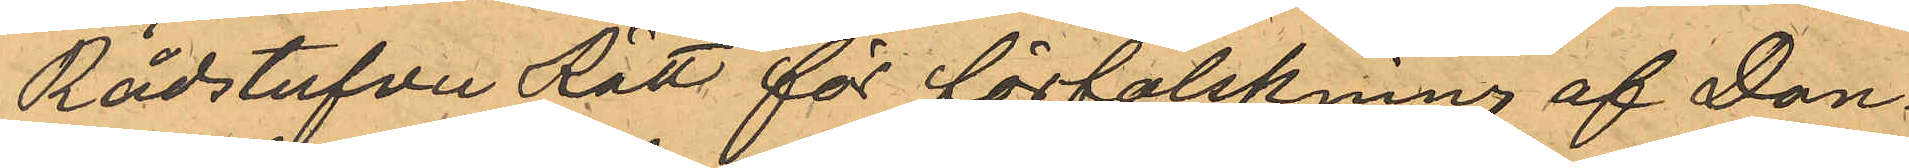Rådstufvu Rätt för förfalskning af Dan¬
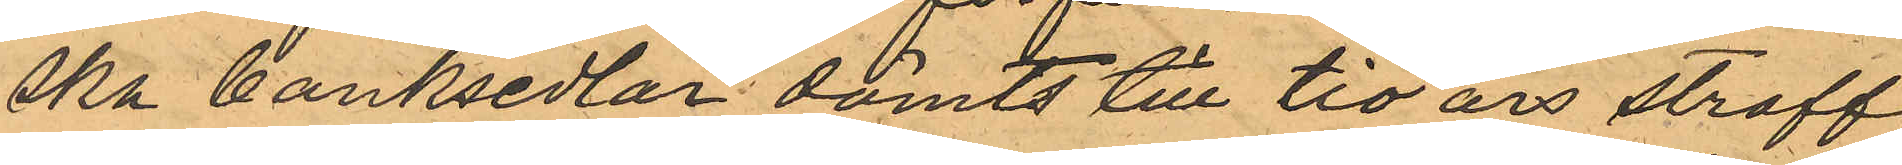ska banksedlar dömts till tio års straff¬
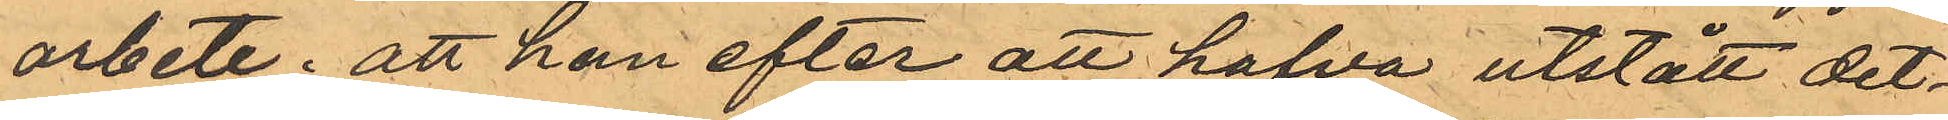arbete; att han efter att hafva utstått det¬
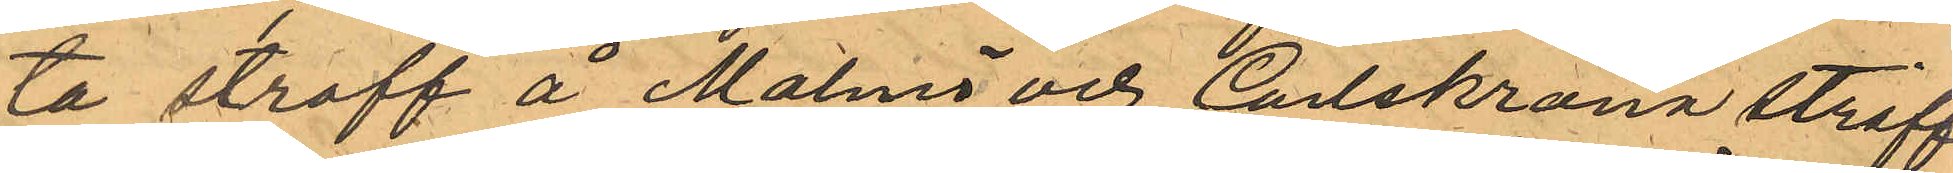ta straff å Malmö och Carlskrona straff
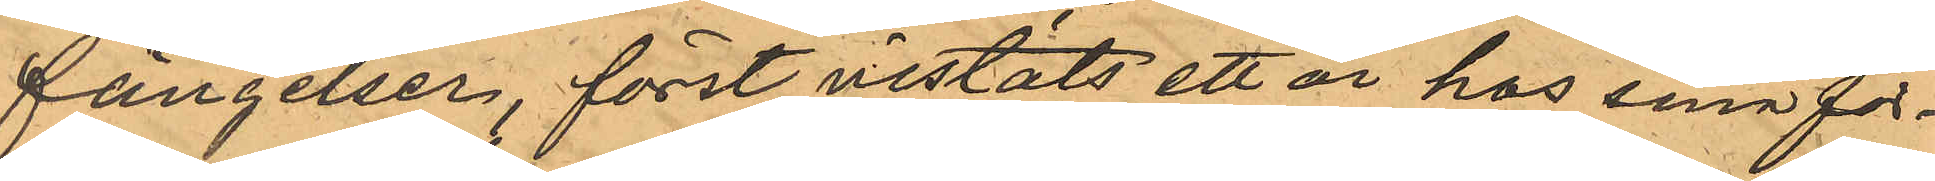fängelser först vistats ett år hos sin för¬
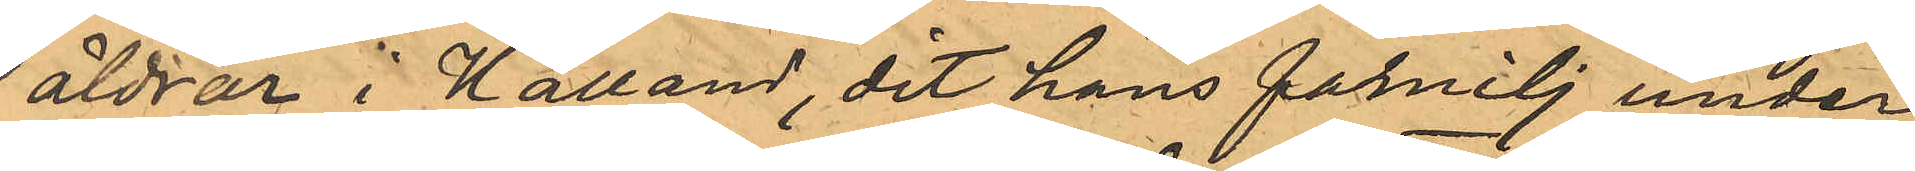äldrar i Halland, dit hans familj under
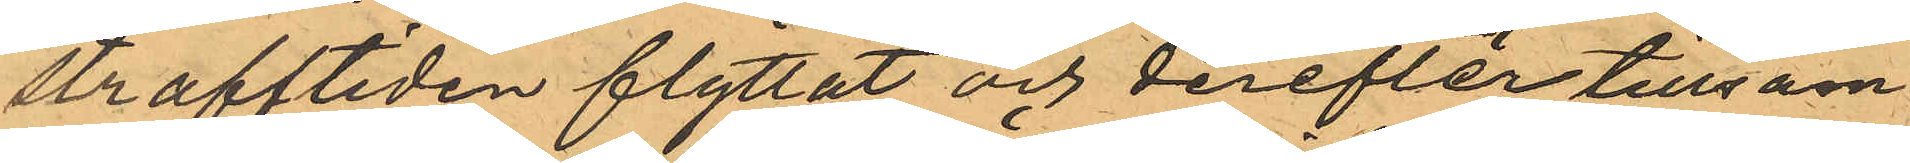strafftiden flyttat och derefter tillsam¬
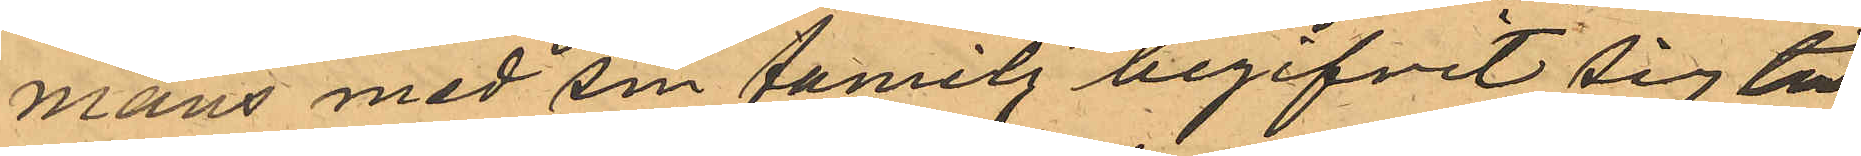mans med sin familj begifvit sig till
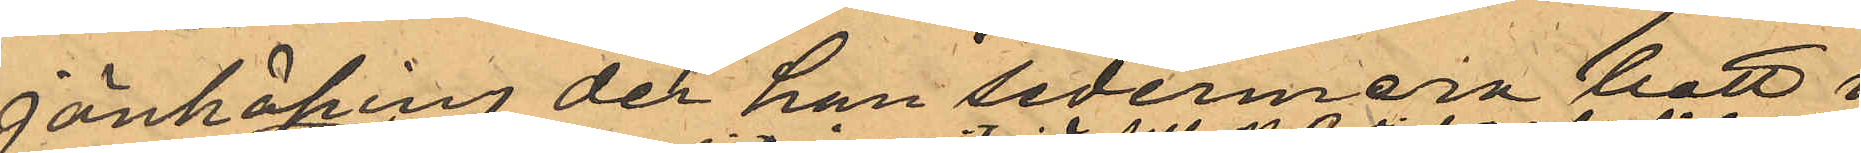Jönköping der han sedermera bott i
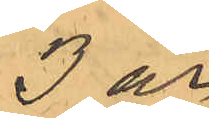3 år.
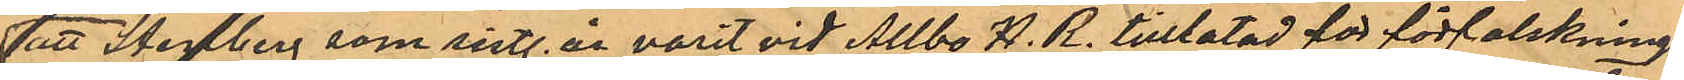att Stenberg som sistl. år varit vid Allbo H. R. tilltalad för förfalsknings¬
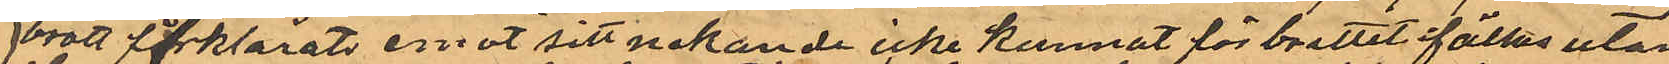brott förklarats emot sitt nekande icke kunnat för brottet fällas utan
